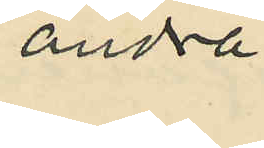andra
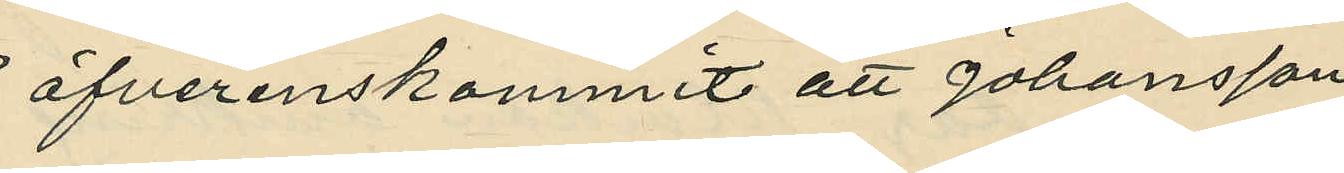öfverenskommit att Johansson
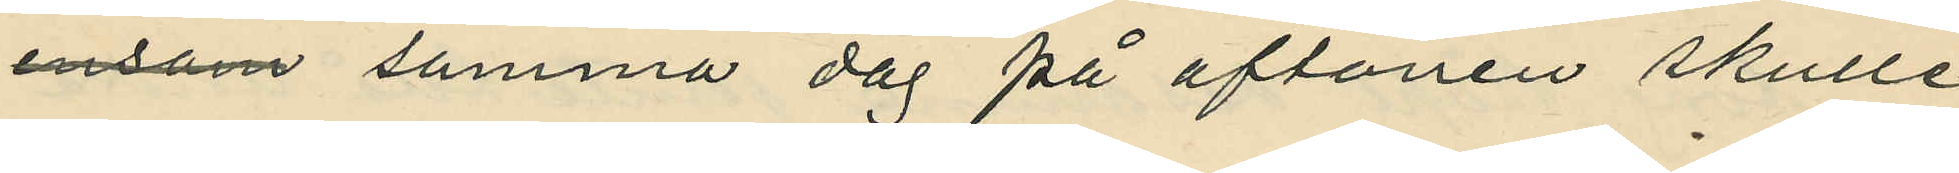ensam samma dag på aftonen skulle
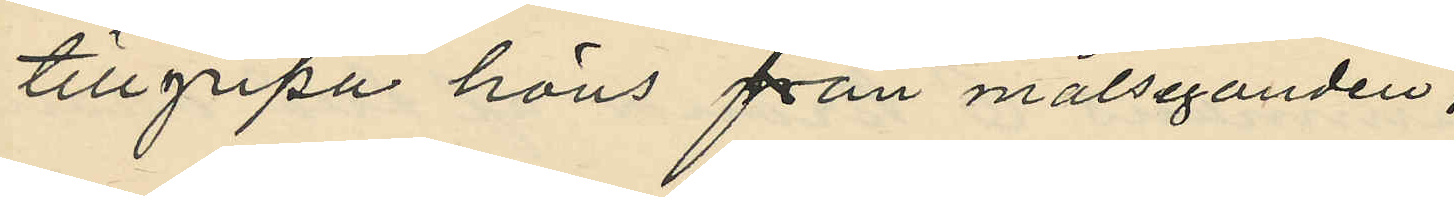tillgripa höns från målseganden;
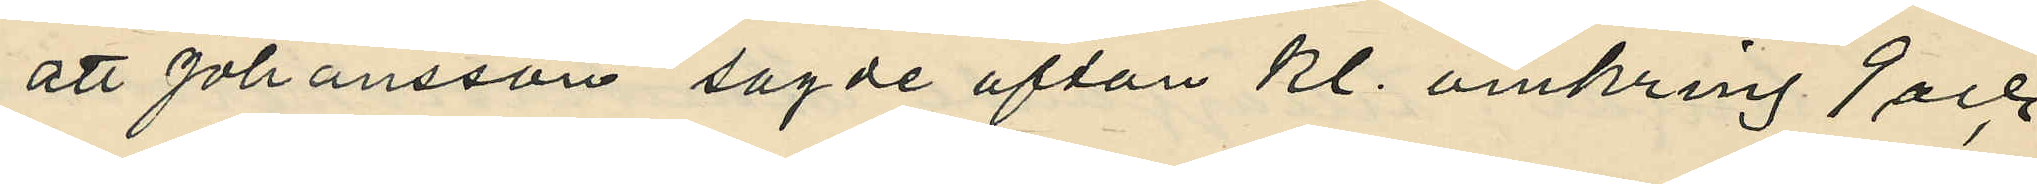att Johansson sagde afton kl. omkring 9 och
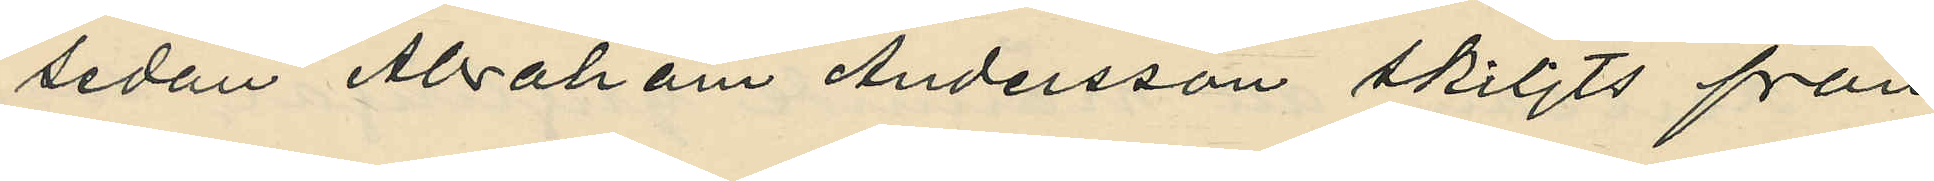sedan Abraham Andersson skiljts från
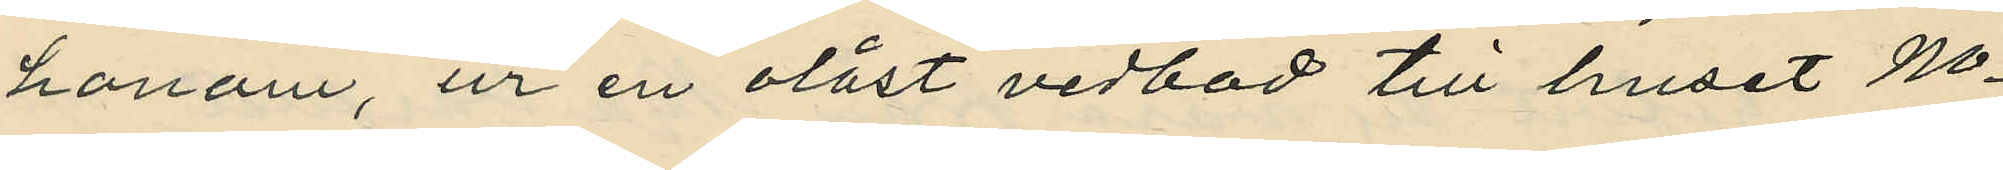honom, ur en olåst vedbod till huset No
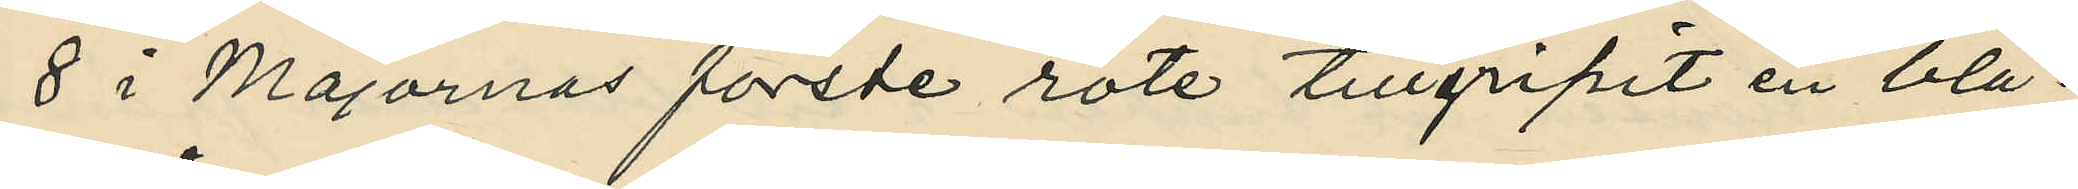8 i Majornas förste rote tillgripit en blå¬
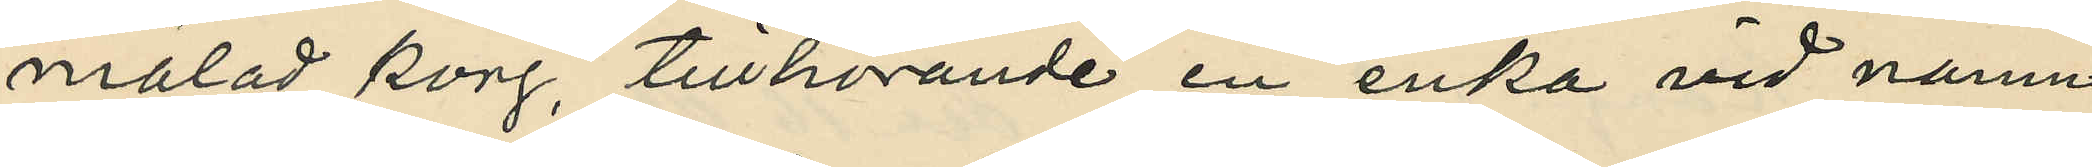målad korg, tillhörande en enka vid namn
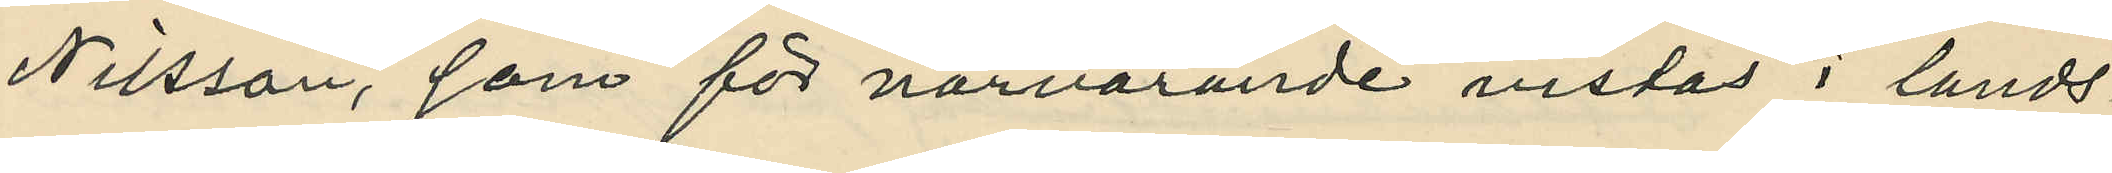Nilsson, som för närvarande vistas i lands¬
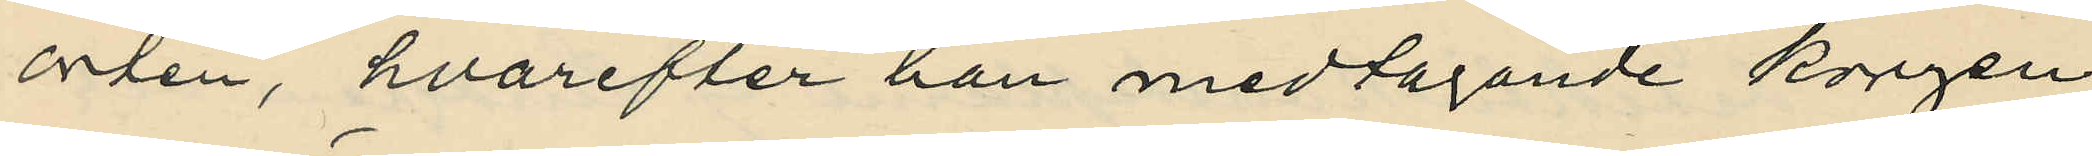orten, hvarefter han medtagande korgen
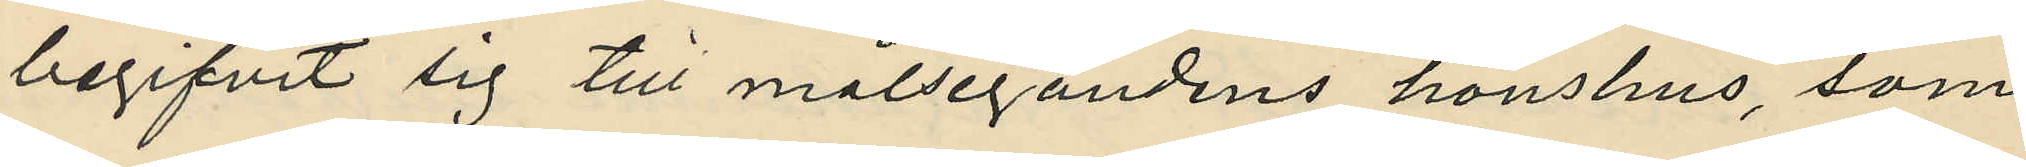begifvit sig till målsegandens hönshus, som
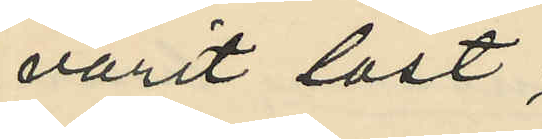varit låst;
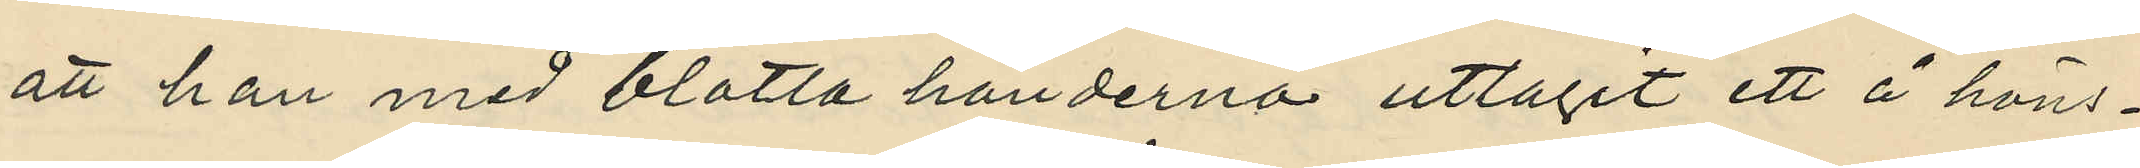att han med blotta händerna uttagit ett å höns¬
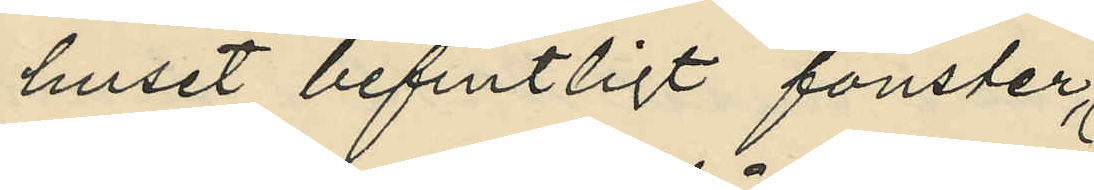huset befintligt fönster,
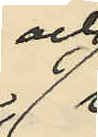och
